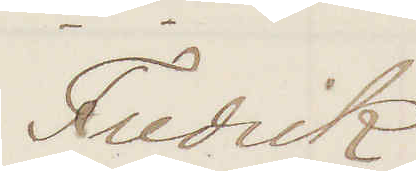Fredrik
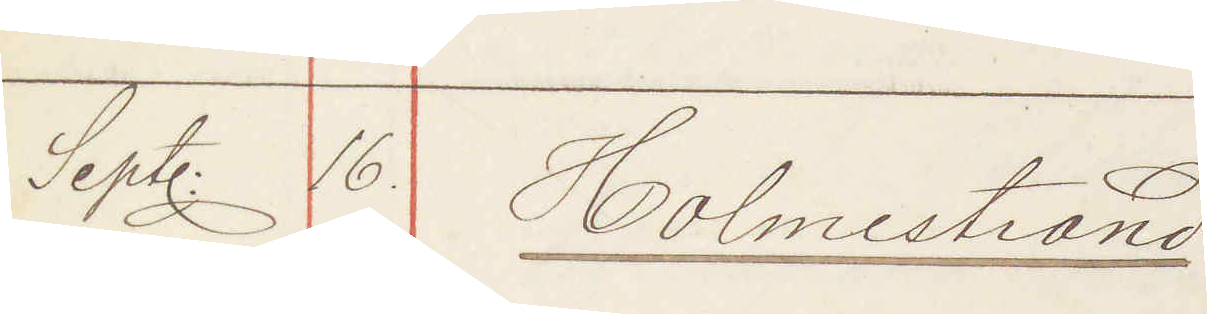Sept. 16. Holmestrand:
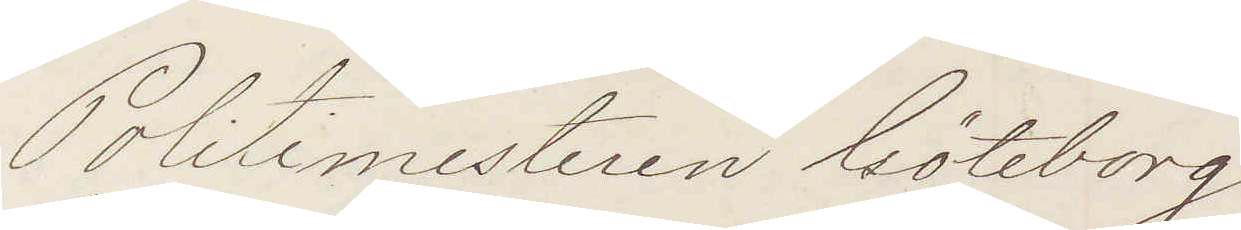Politimesteren Göteborg
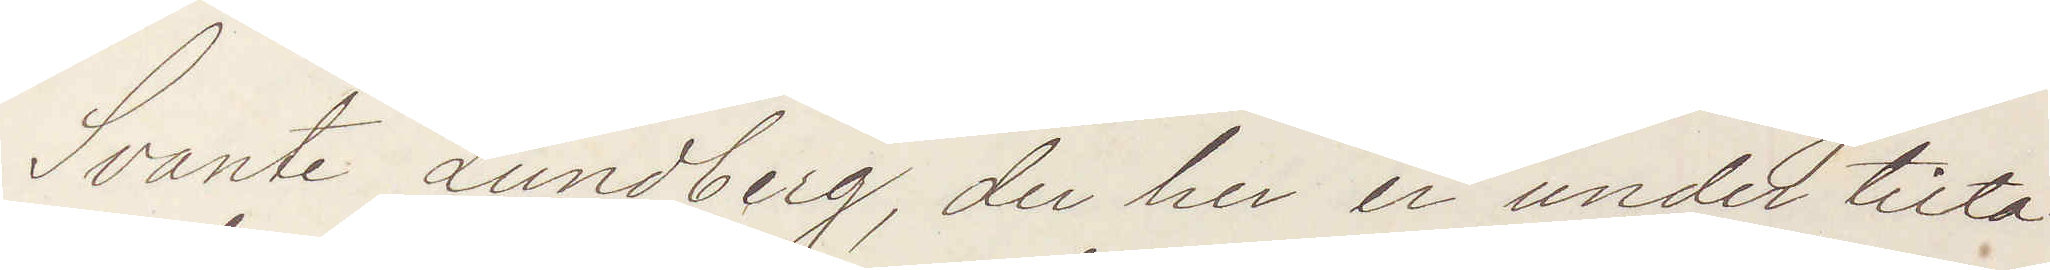Svante Lundberg, der her er under tilta¬
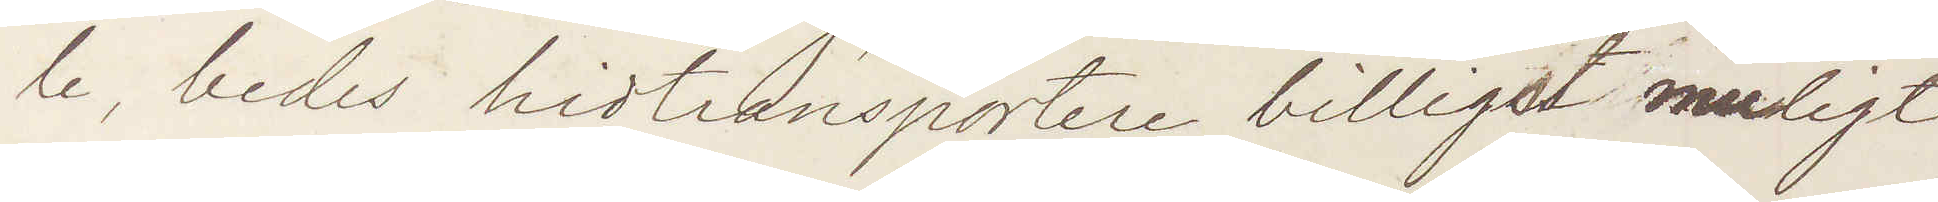le, bedes hidtransportere billigst muligt
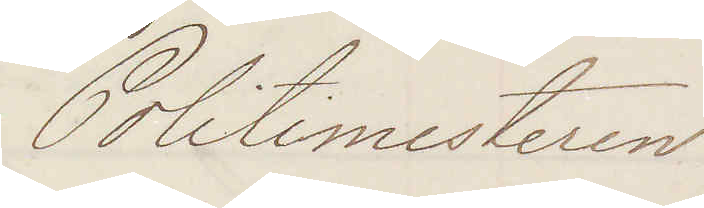Politimesteren
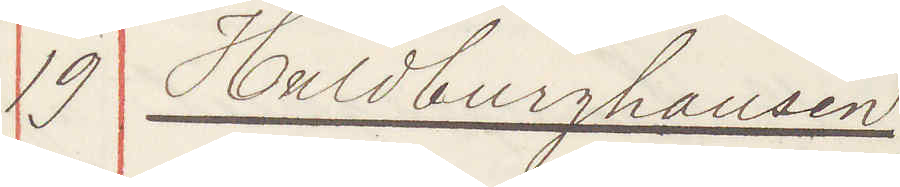19 Hildburghausen
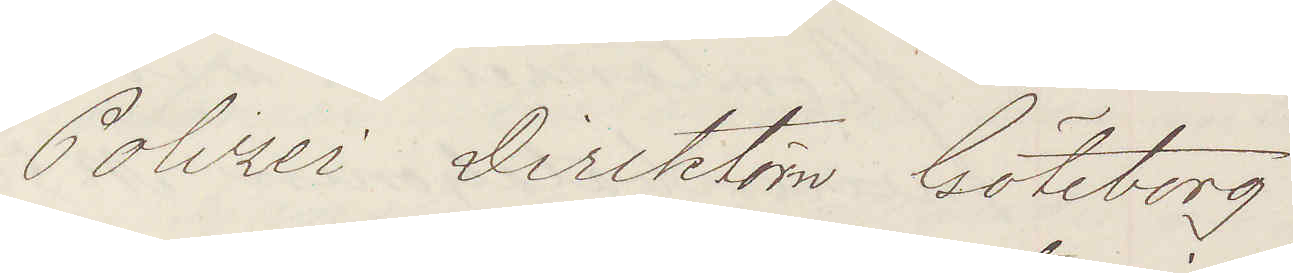Polizei Direktörn Göteborg
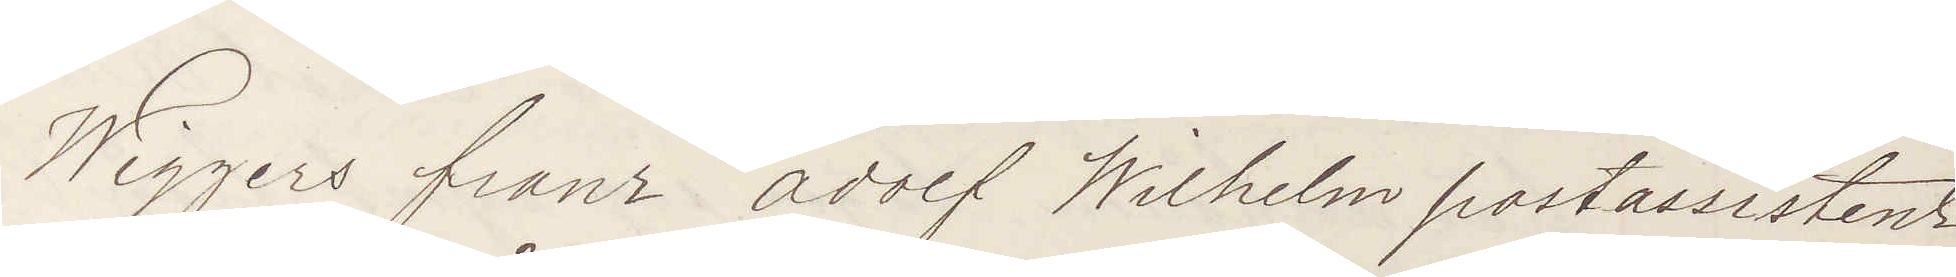Wiggers franz adolf Wilhelm postassistent
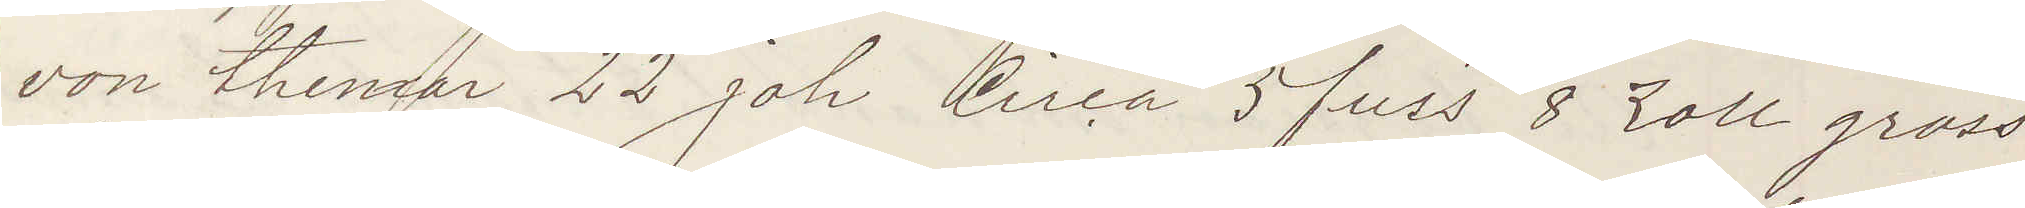von thenzar 22 jah Circa 5 fuss 8 zoll gross
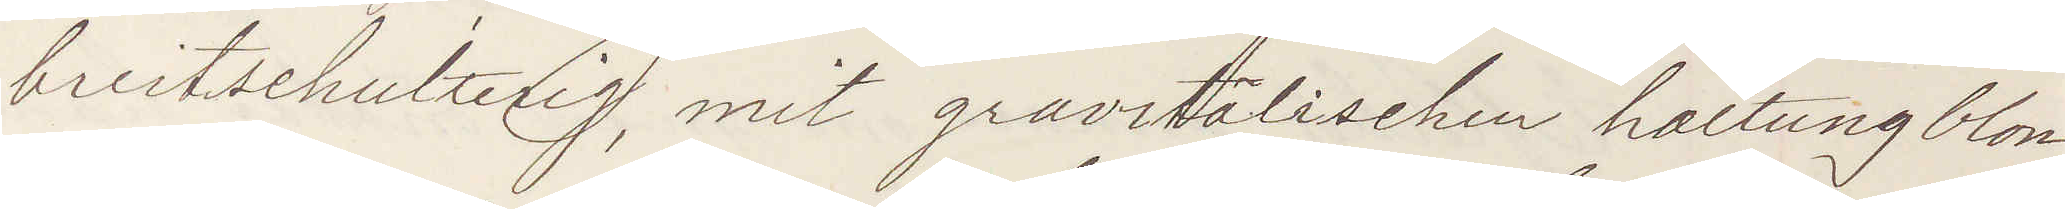breitsehulterig mit gravitälischen haltung blon¬
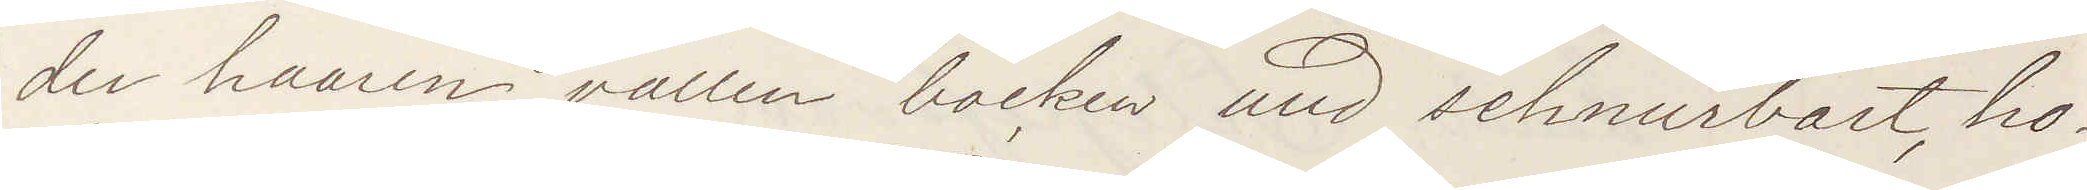der haaren vallen backen und schnurbart ho¬
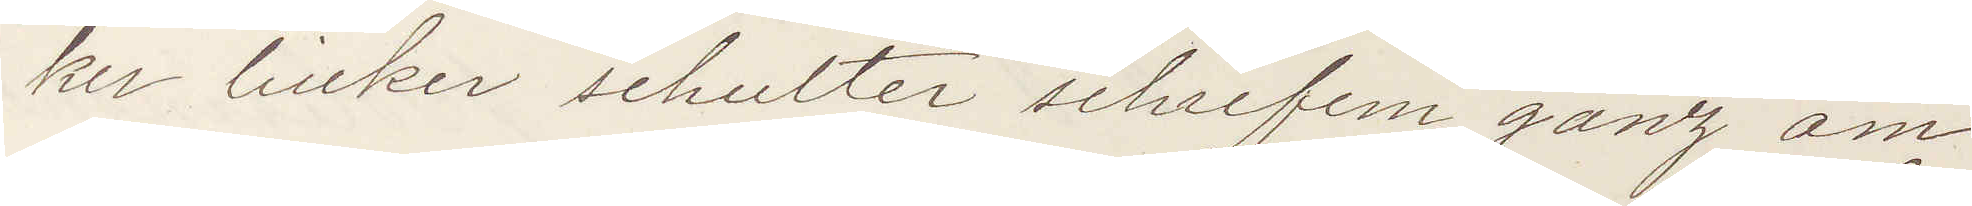ker linker schulter schrifem ganz am
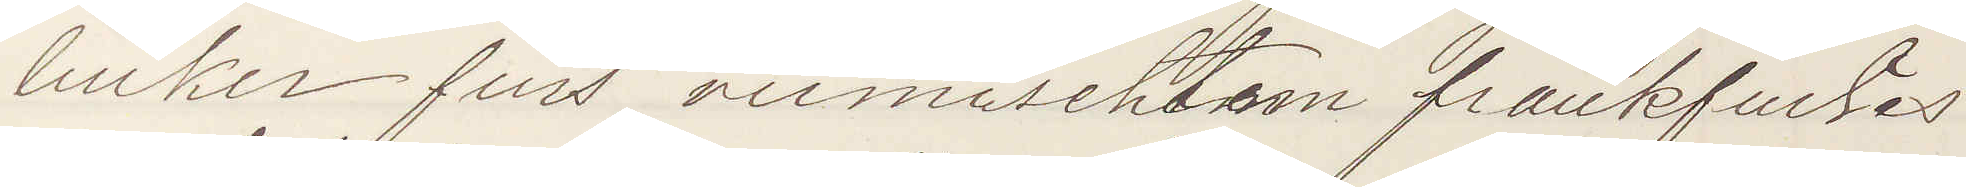linker fuss vermischtem frankfurtes
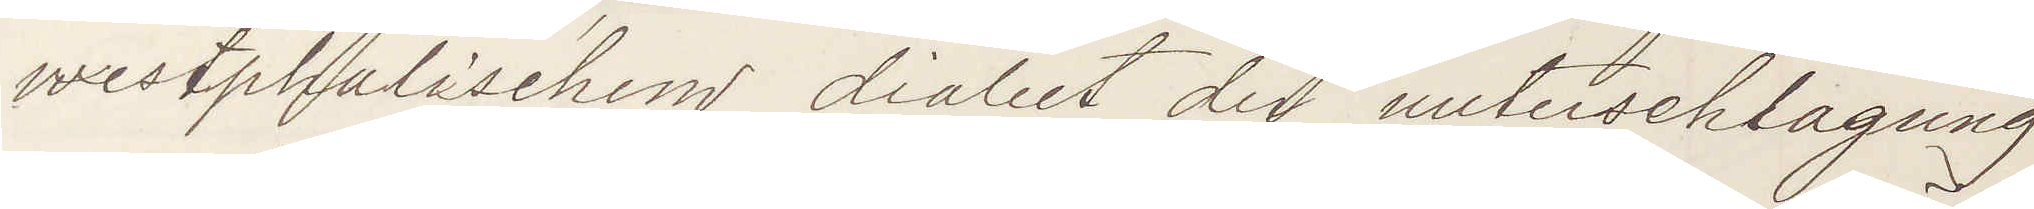westphalischem dialect der nuterschlagung
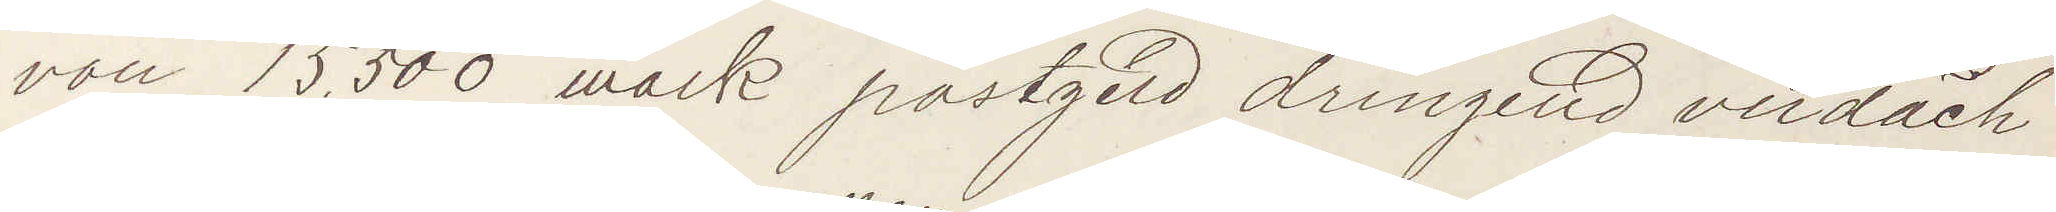von 15.500 mark postgeld dringend verdäch¬
